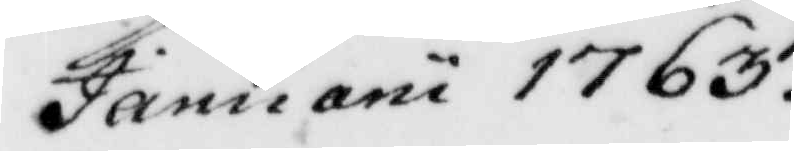Januarii 1763. 
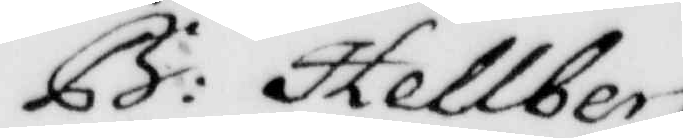B: Hellberg
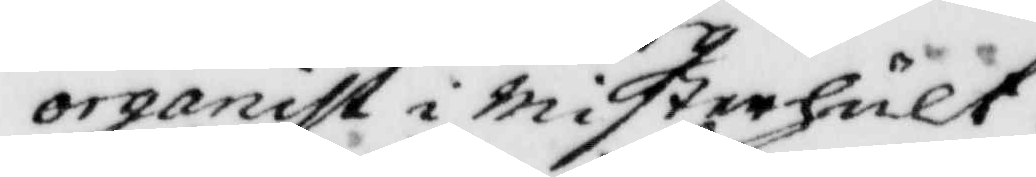organist i misterhult.
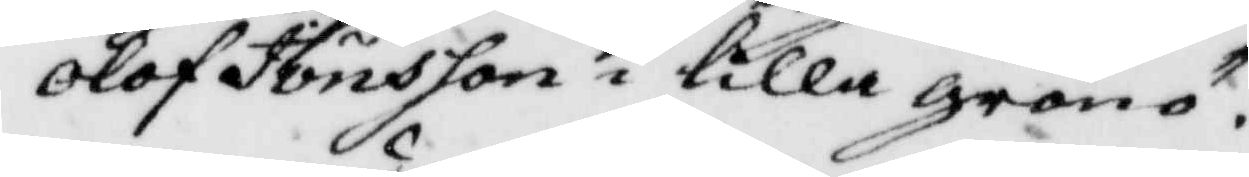Olof Jönsson i lilla grönö.
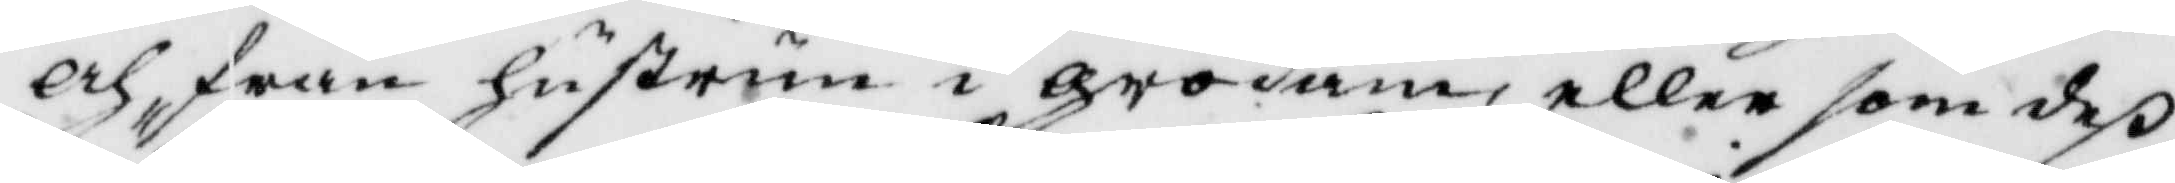och från husrun i grodam, eller som deß
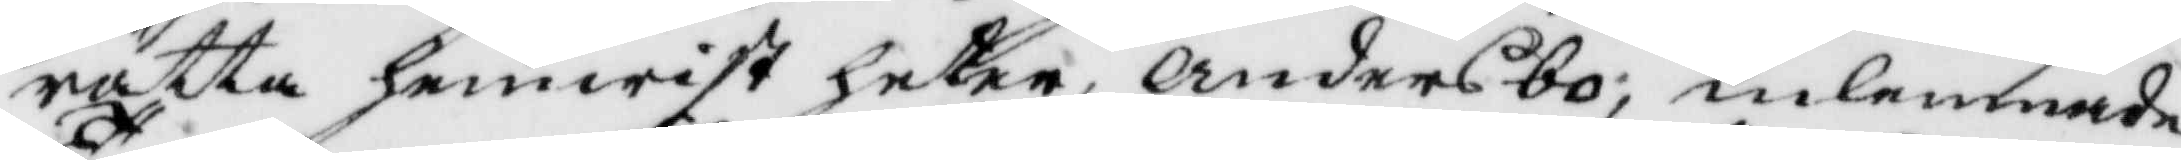rätta hemwist heter, Andersbo, inlemnade
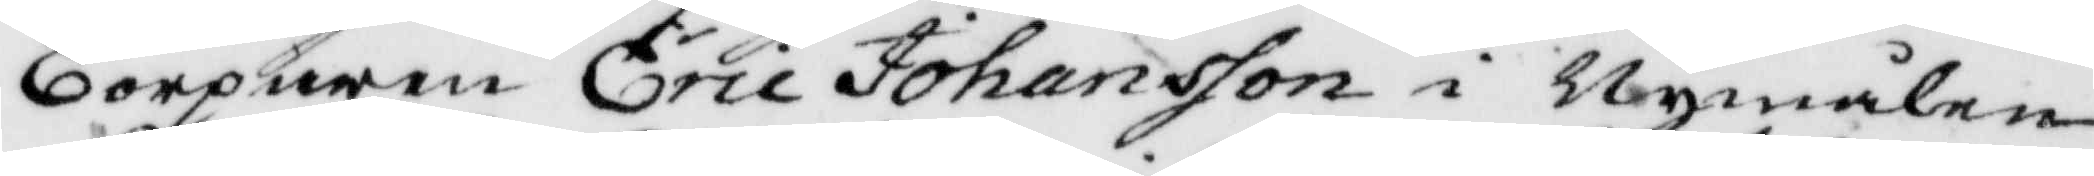Torparen Eric Johansson i Nymålen
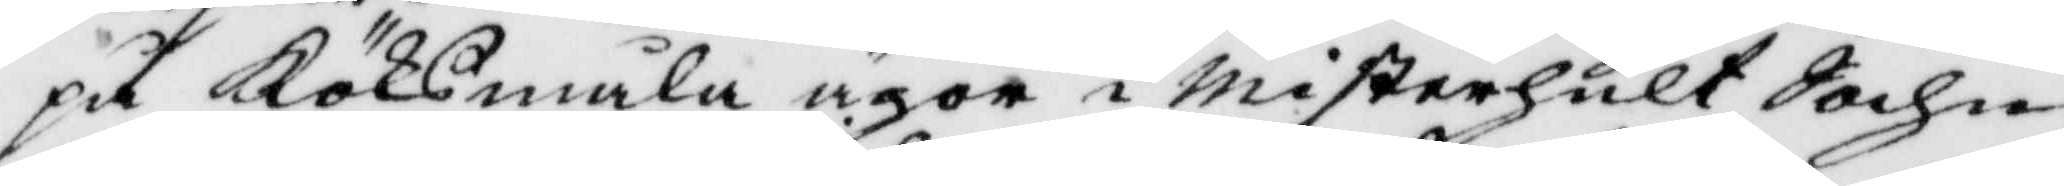på Köksmåla ägor i misterhult Sochn,
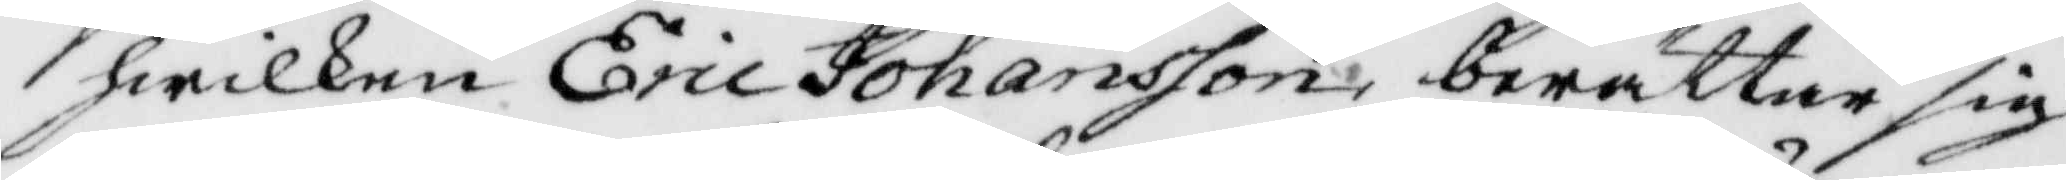hwilken Eric Johansson berättar sig
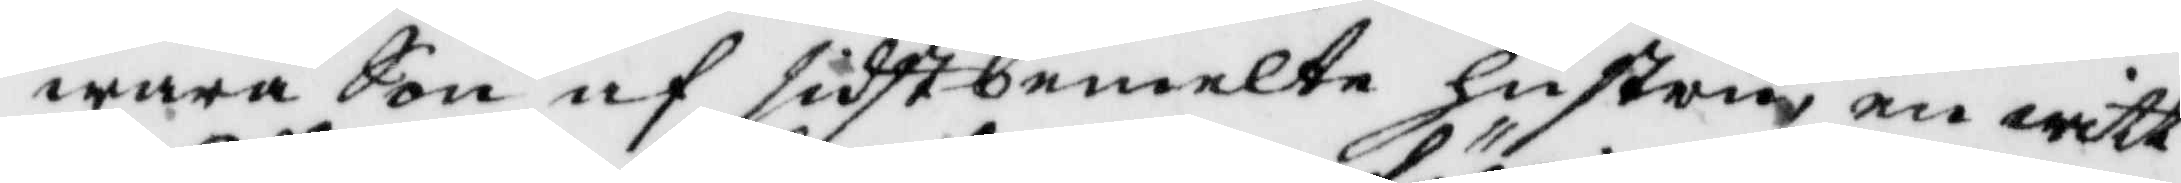wara Son af förbemelte hustru en witt¬
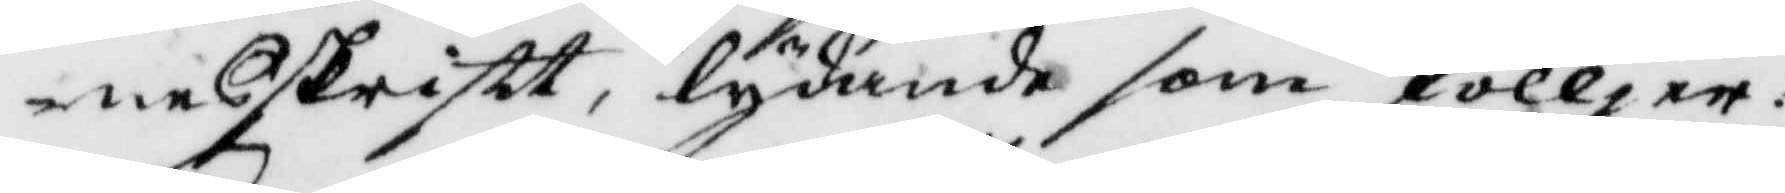neskrift, lydande som fölljer.
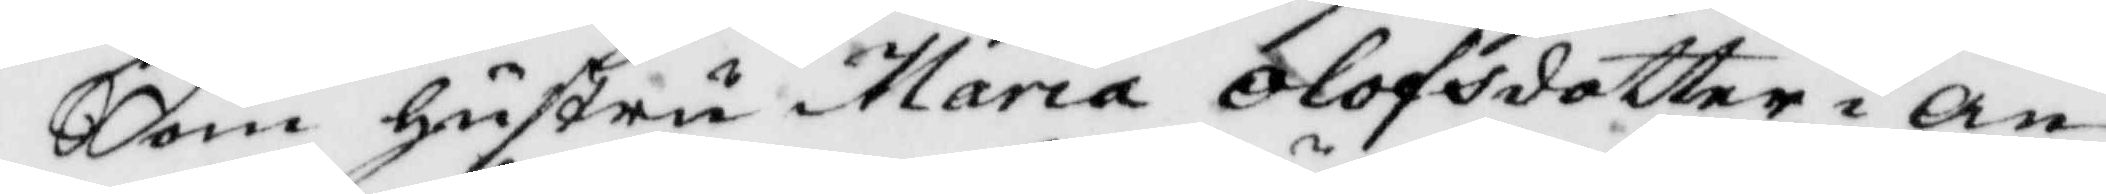Som hustru Maria Olofsdotter i An¬
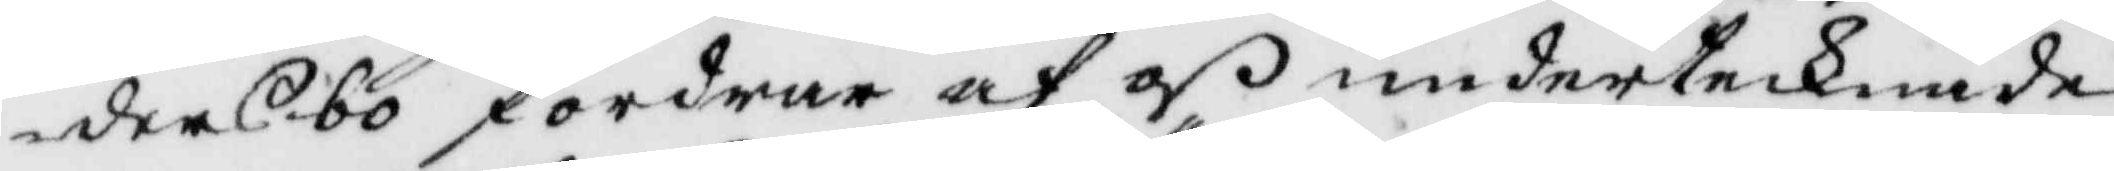dersbo fordras af oß undertecknade
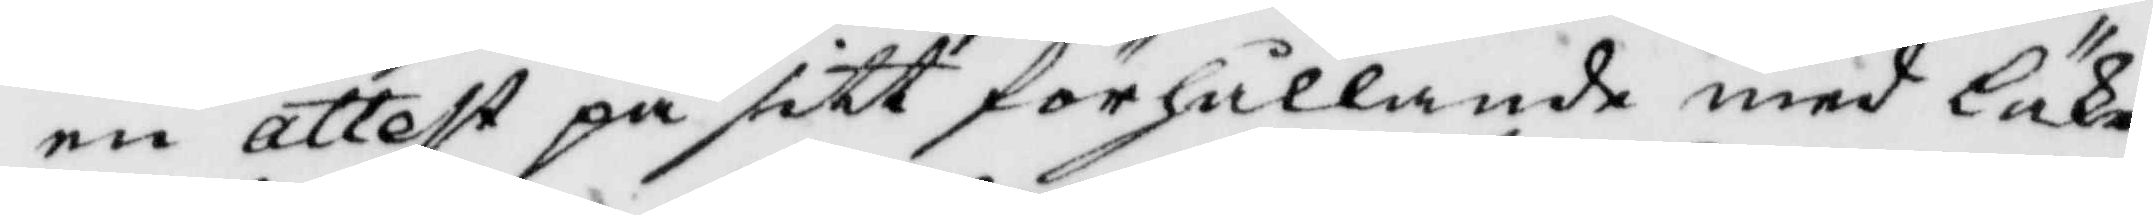en attest på sitt förhållande med läke¬
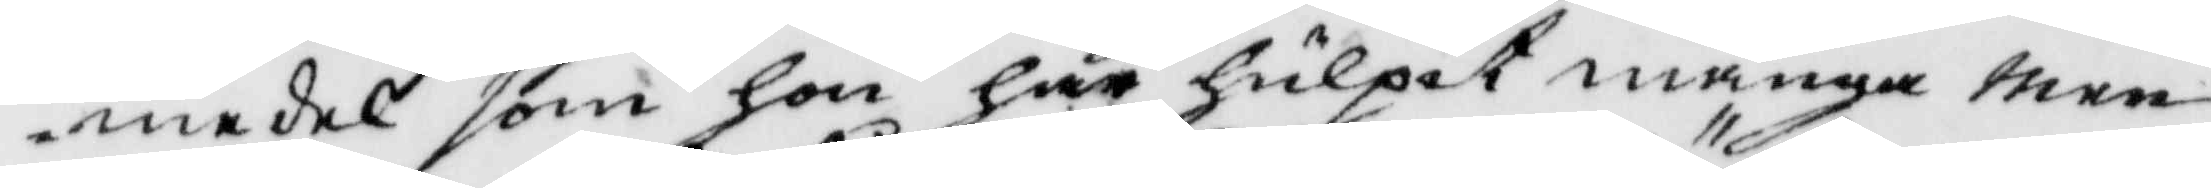medel som hon har hulpit många men¬
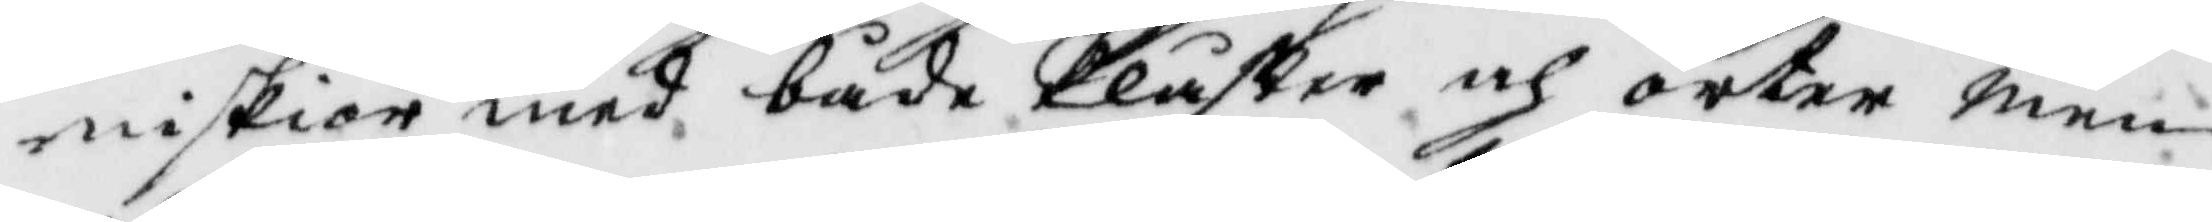niskior med både plåster och örter men
